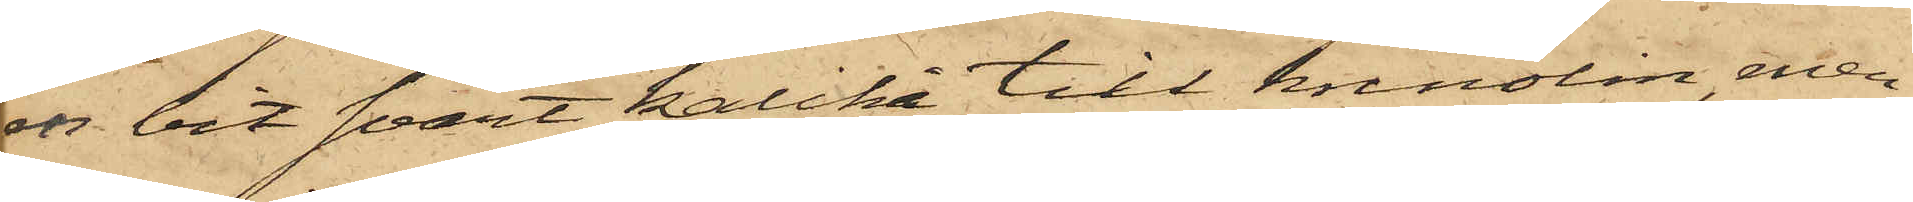en bit svart kalikå till krinolin, men
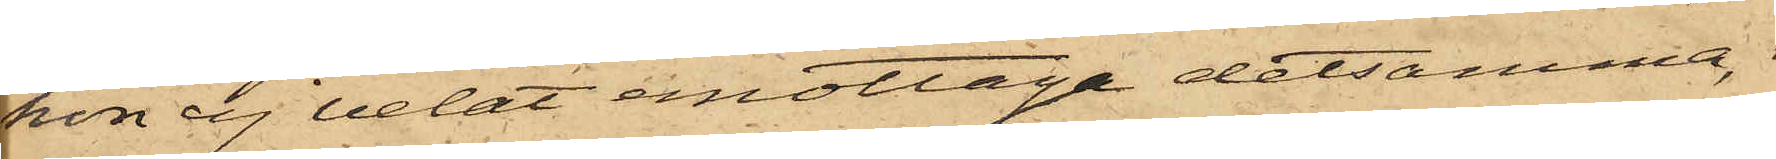hon ej velat emottaga detsamma,
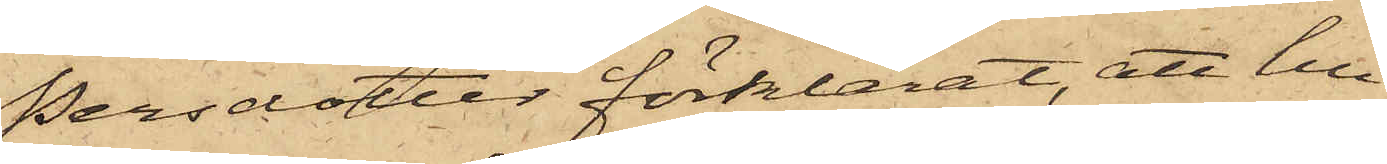Persdotter förklarat, att hu¬
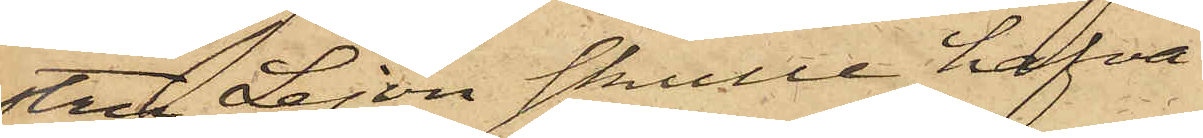stru Lejon skulle hafva
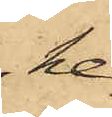he¬
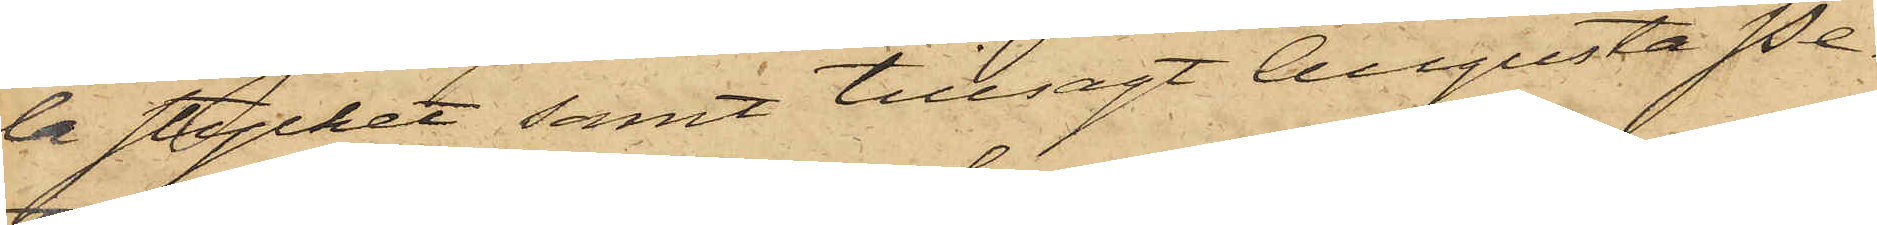la stycket samt tillsagt Augusta Pe¬
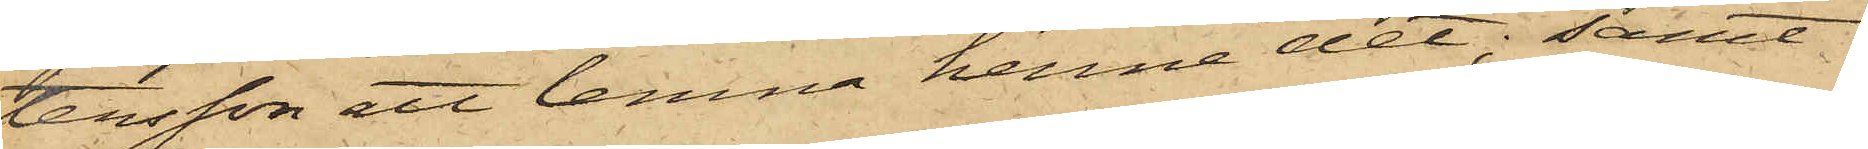tersson ett lemna henne det; samt
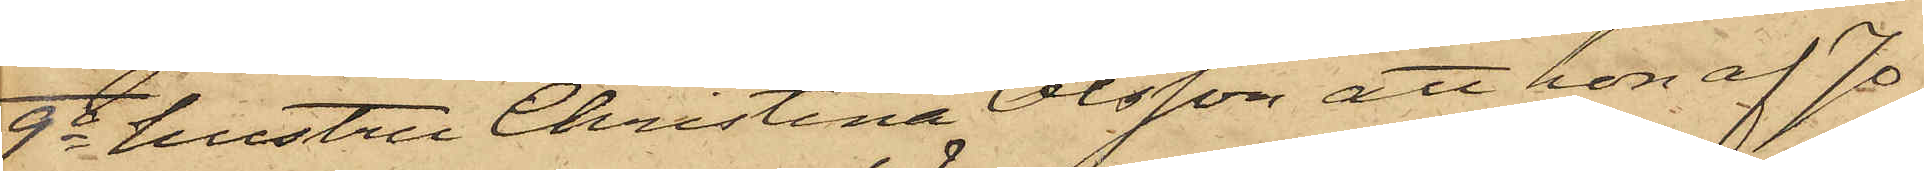9o hustru Christina Olsson att hon af Jo¬
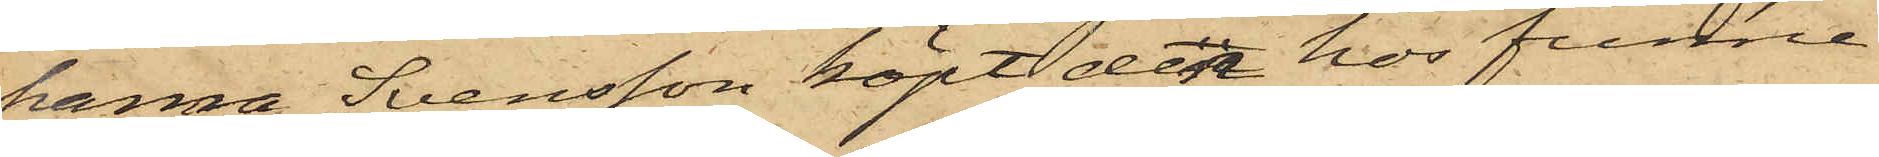hanna Svensson köpt den hos funne
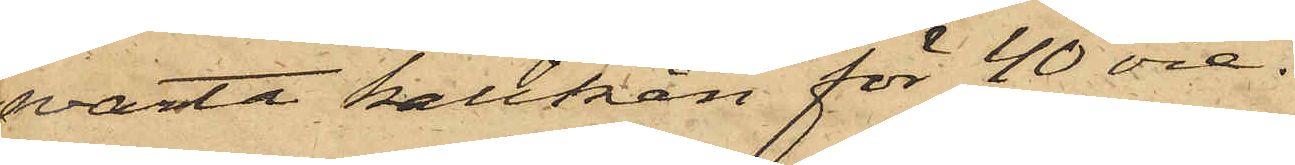svarta kalikån för 40 öre.
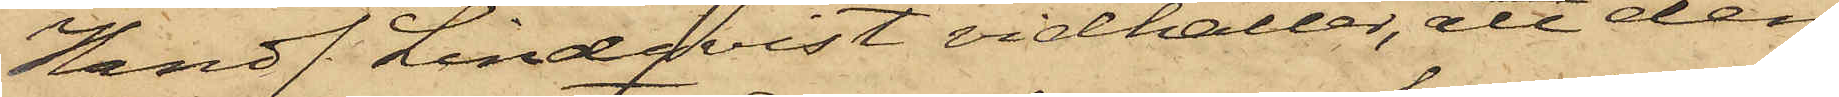Handl. Lindqvist vidhåller, att den
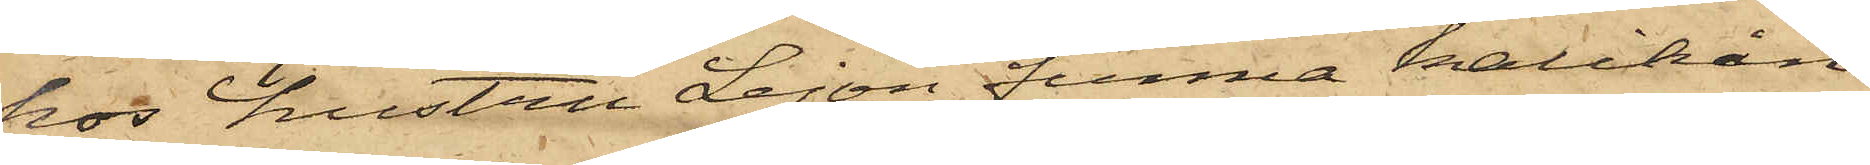hos hustru Lejon funna kalikån
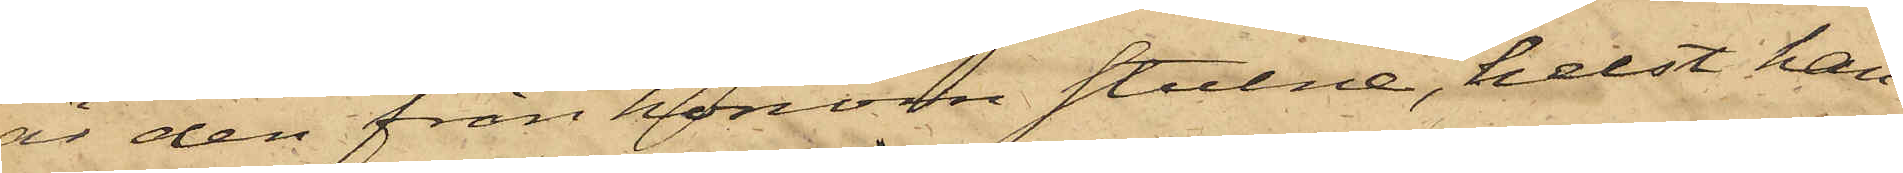är den från honom stulne, helst han
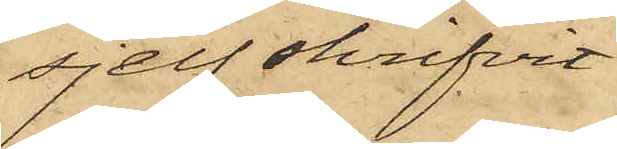sjelf skrifvit
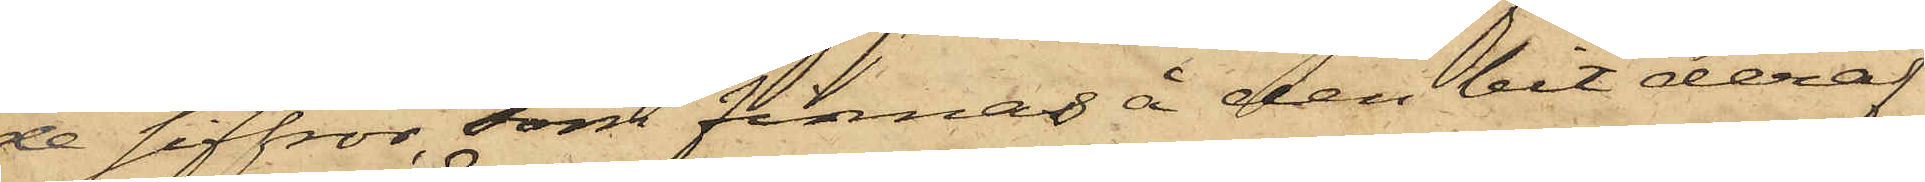de siffror, som finnas å den bit deraf
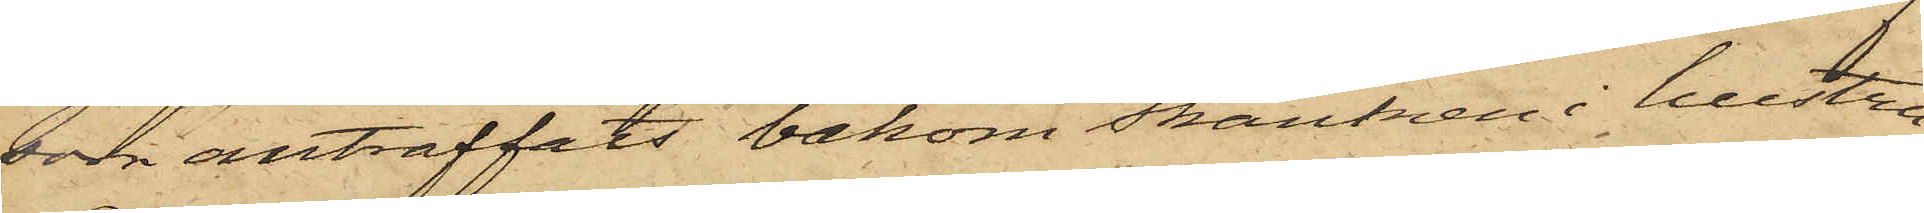som anträffats bakom skänken i hustru
